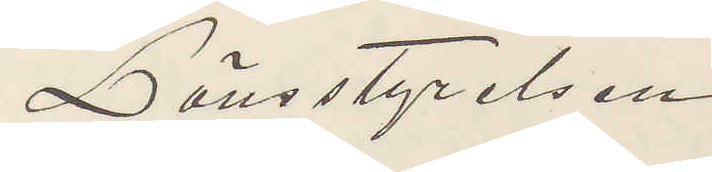Länsstyrelsen.
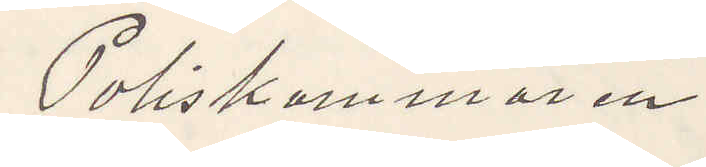Poliskammaren
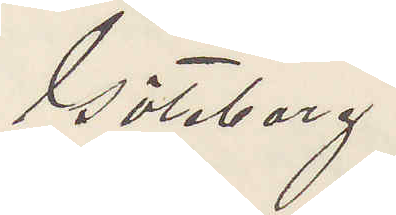Göteborg.
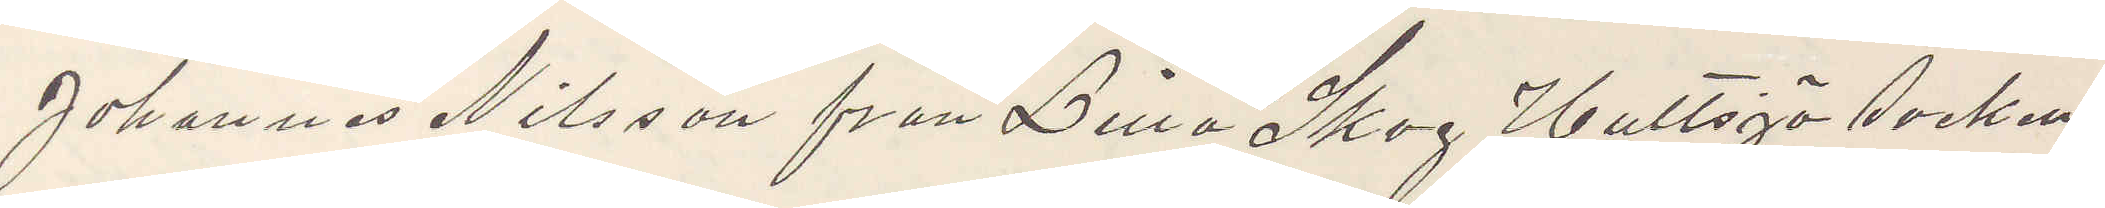Johannes Nilsson från Lilla Skog Hultsjö socken
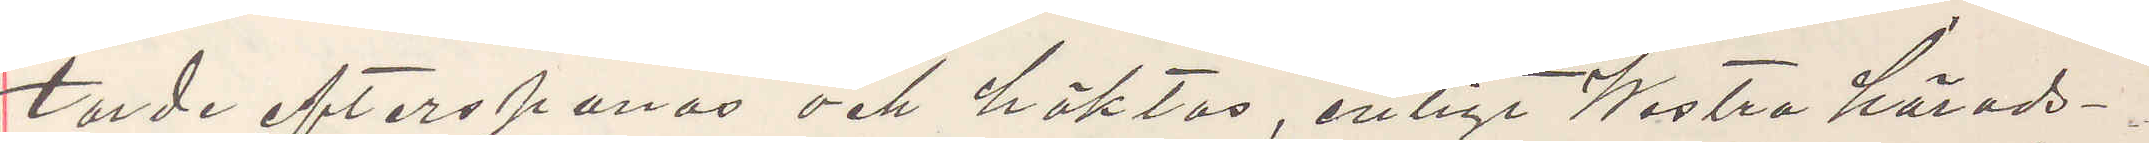torde efterspanas och häktas, enligt Westra härads¬
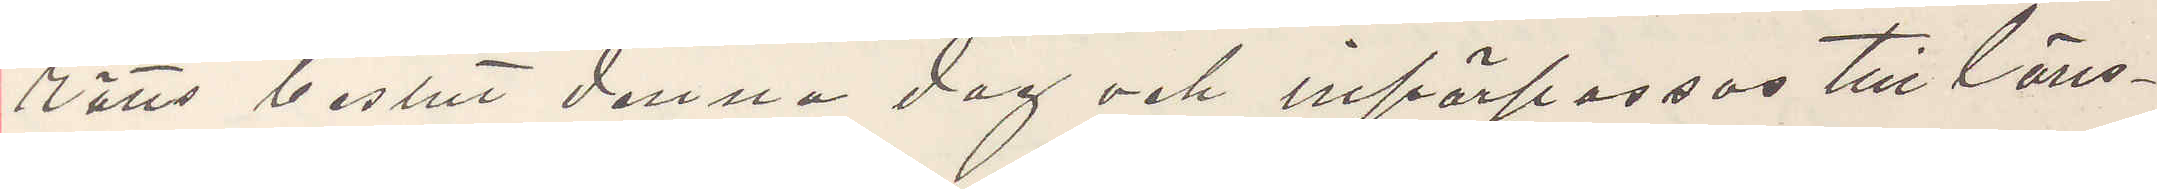rätts beslut denna dag och införpassas till läns¬
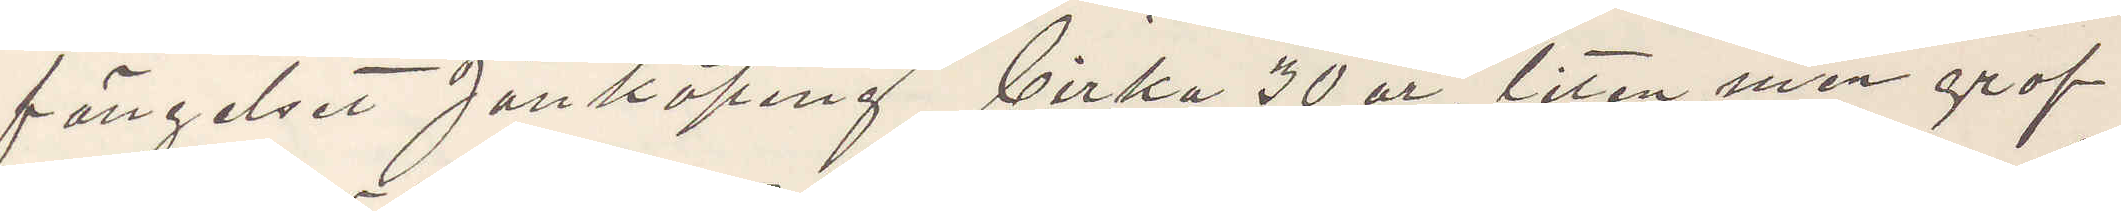fängelset Jönköping, cirka 30 år, liten men grof
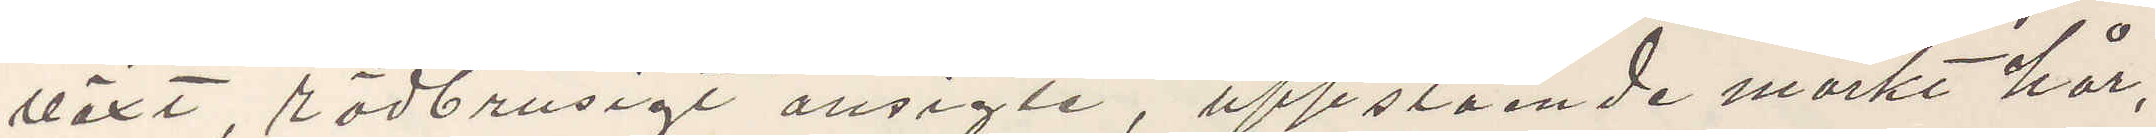växt, rödbrusigt ansigte, uppstående mörkt hår.
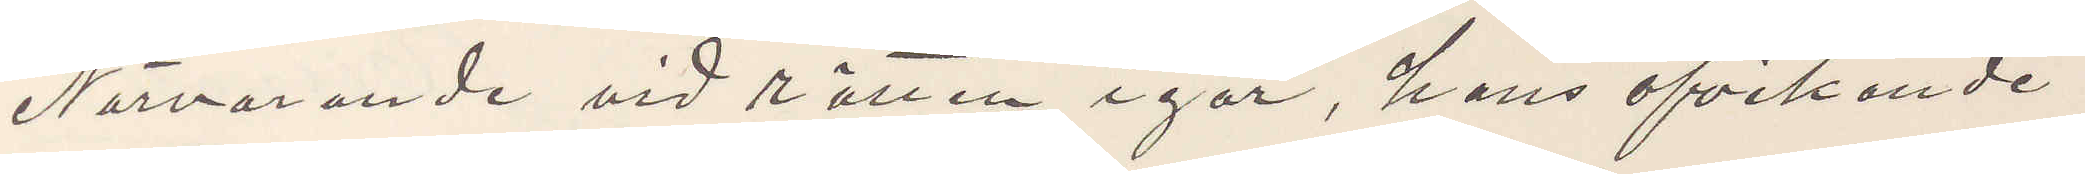Närvarande vid rätten igår, hans afvikande
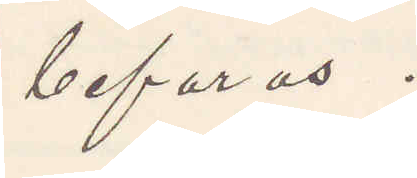befaras.
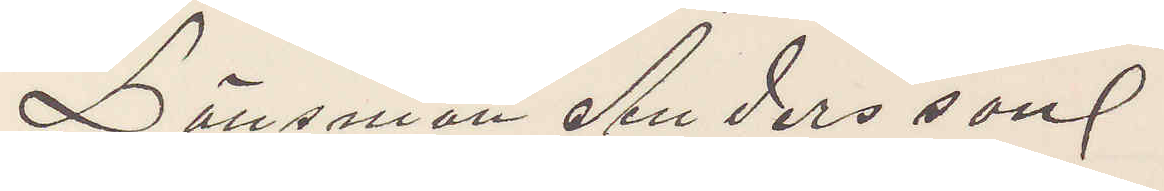Länsman Andersson
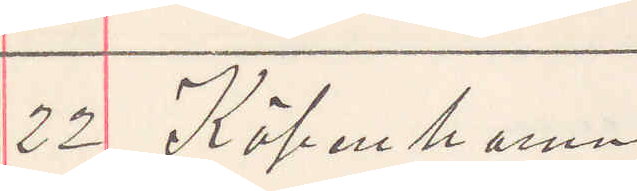22 Köpenhamn
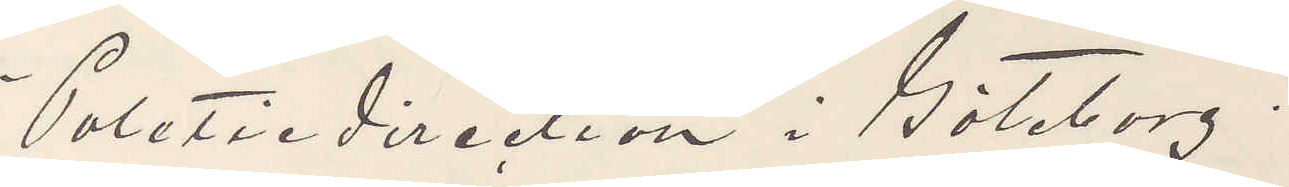Politiedirektion i Göteborg.
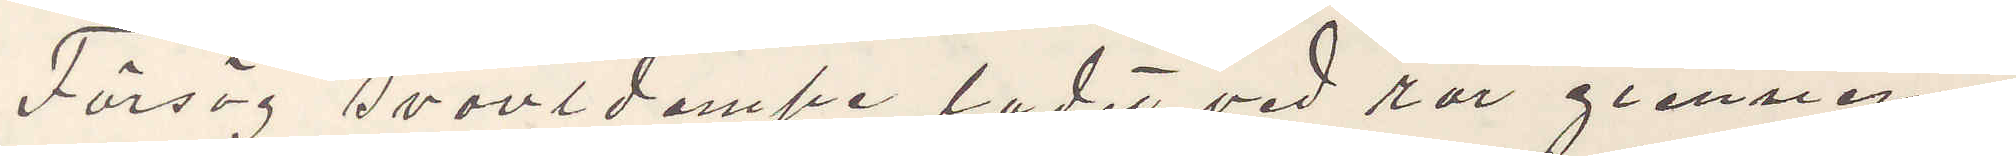Försög svovldampe ladet ved rör giennem
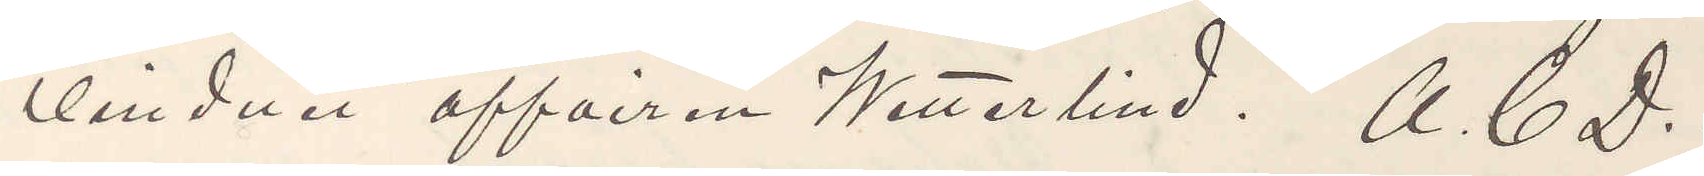vinduet affairren Wetterlind. A. C. D.
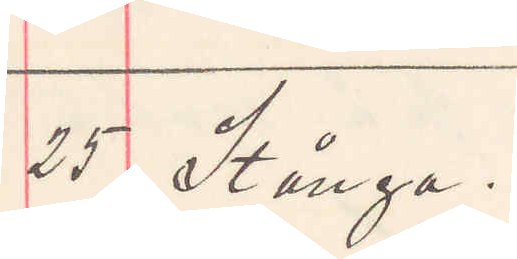25 Stånga.
